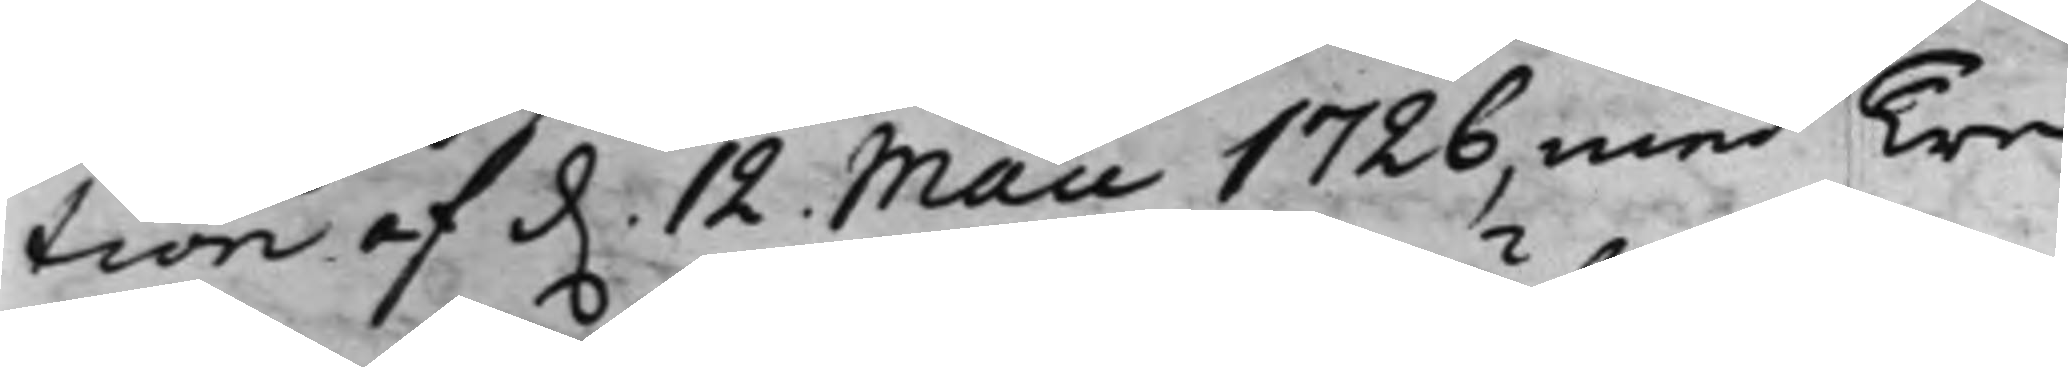tion af d. 12 Maii 1726, med Tre
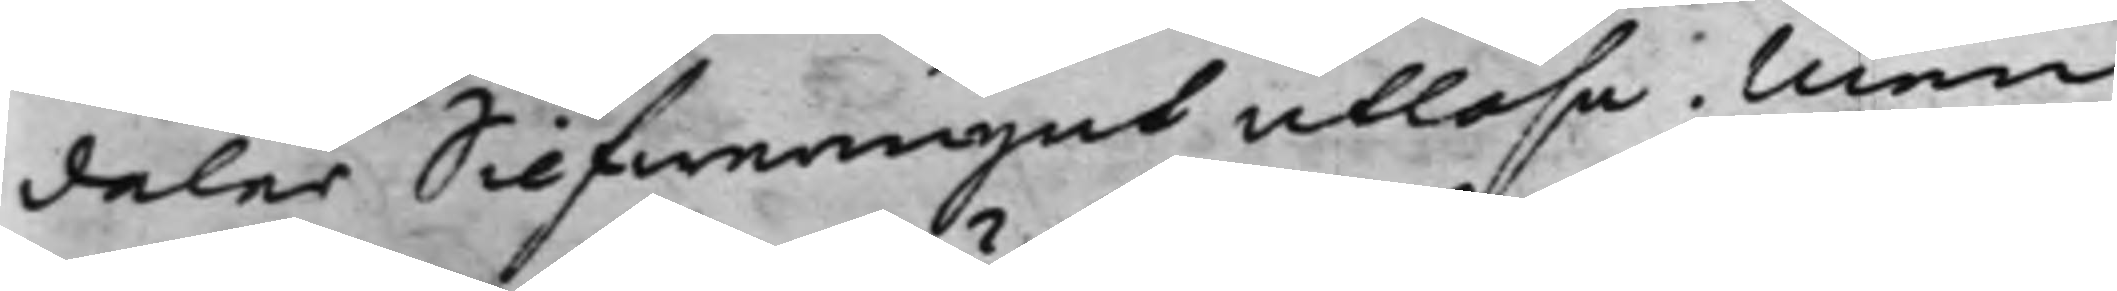daler Silfwermynt utlösa. Men
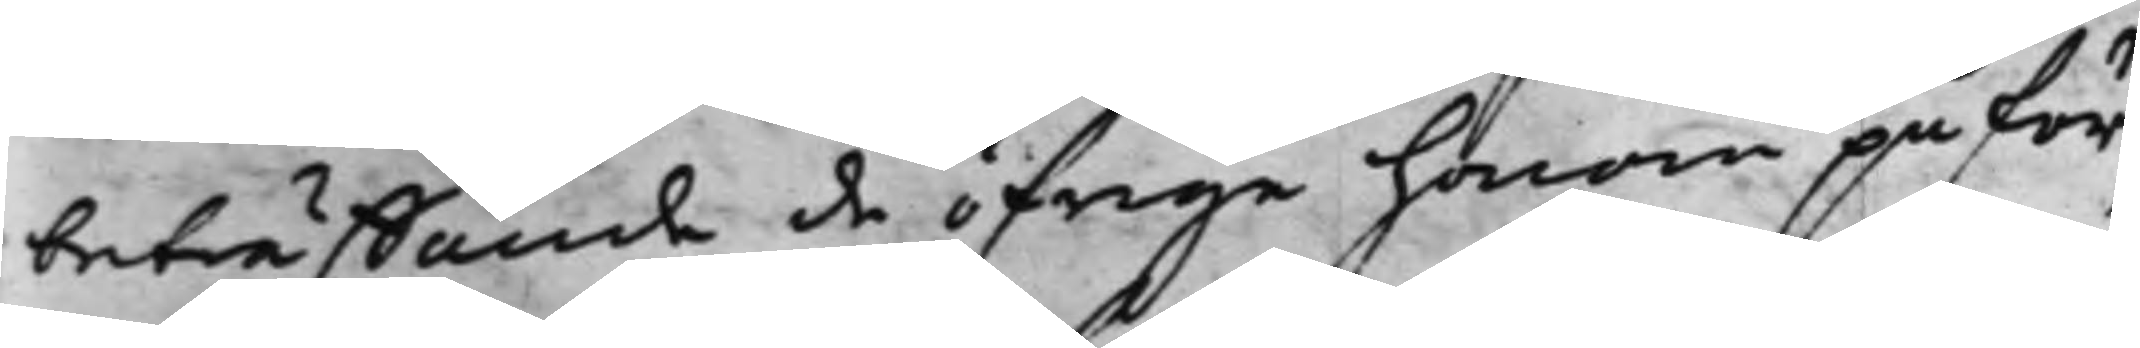beträffande de öfrige honom påför¬
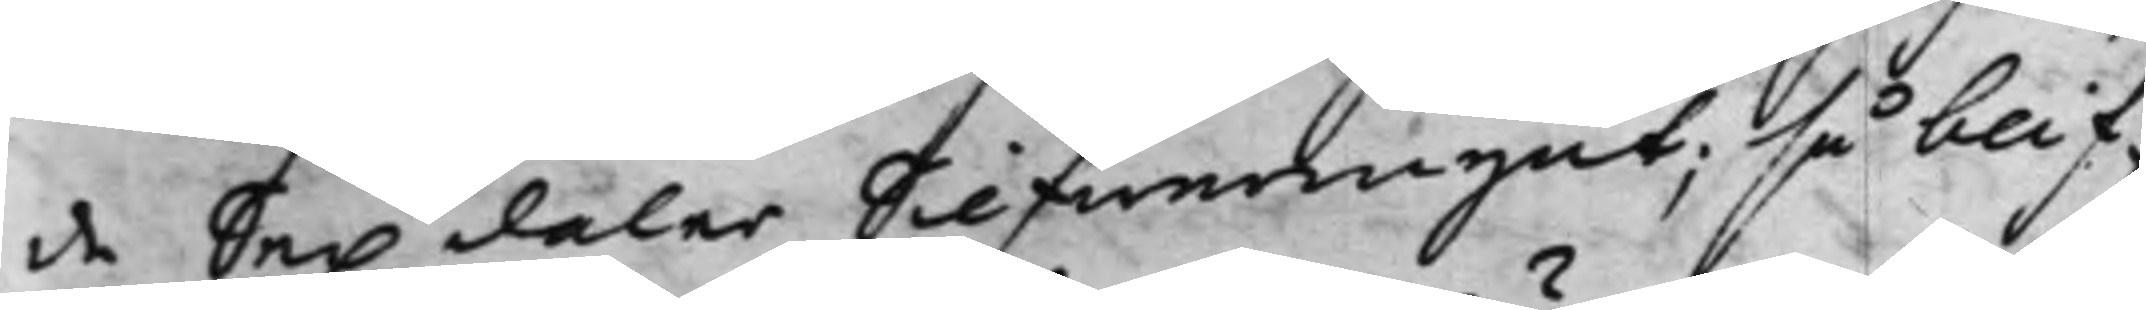de Sex daler Silfwermynt; så blif¬
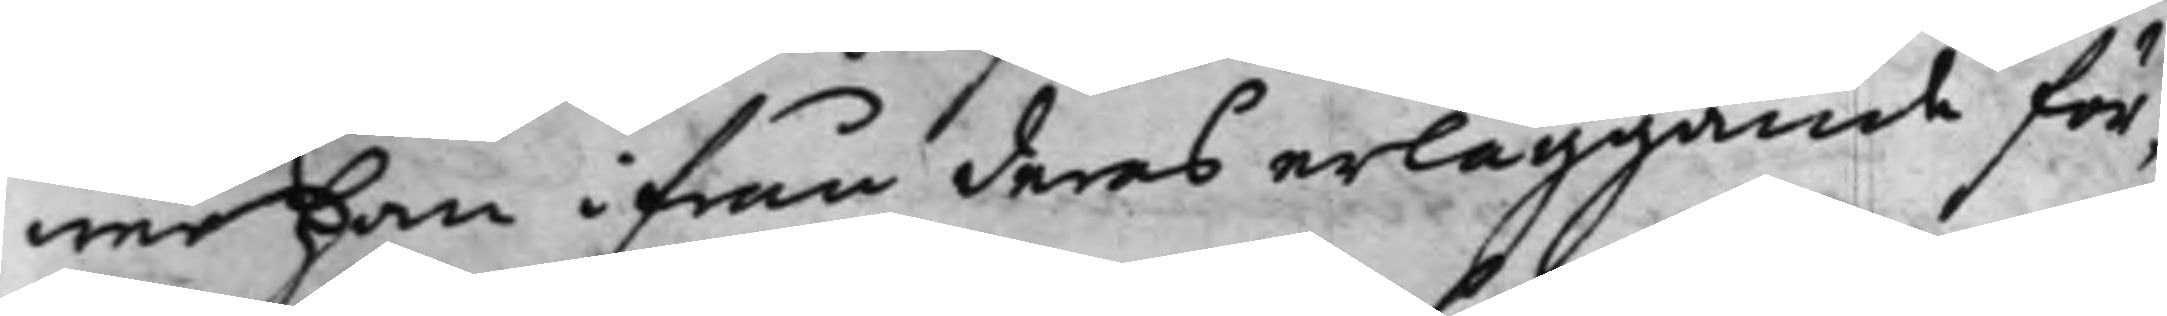wer han ifrån deras erläggande för¬
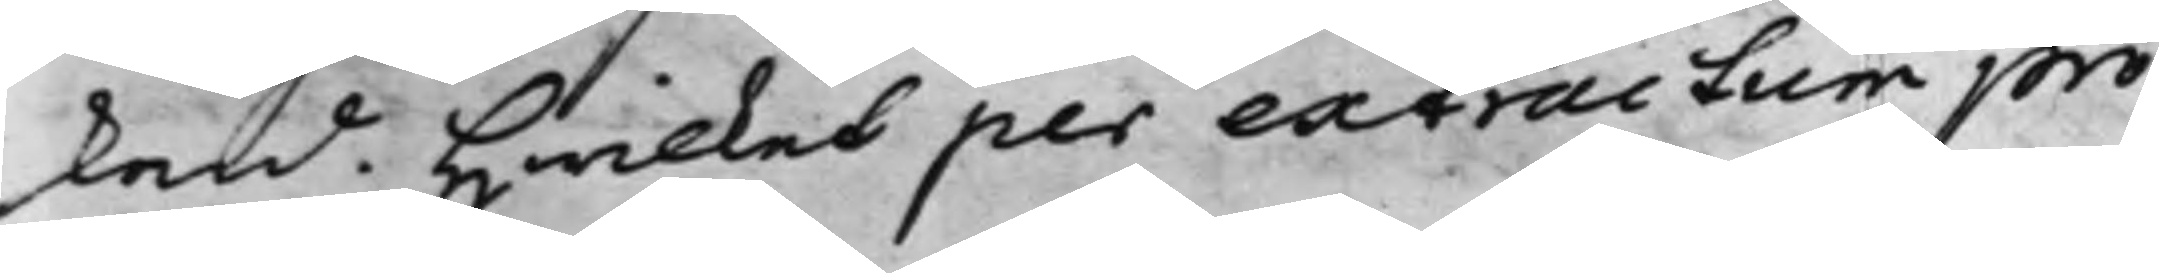skond. Hwilket per extractum pro¬
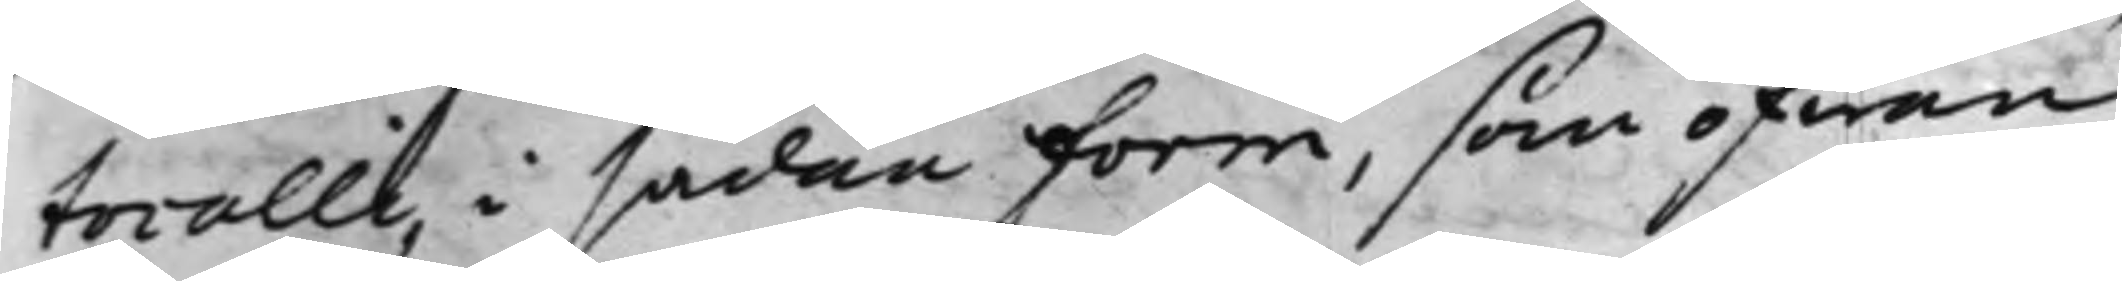tocolli, i sådan form, som ofwan
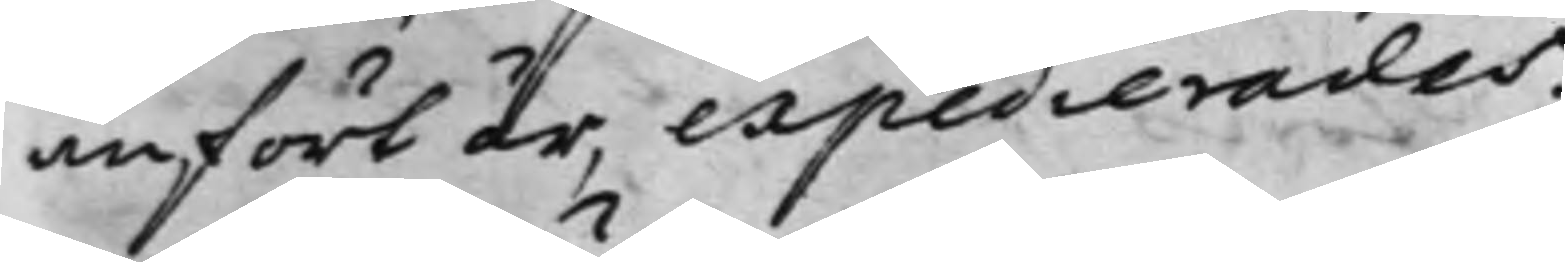anfört är, expedierades.
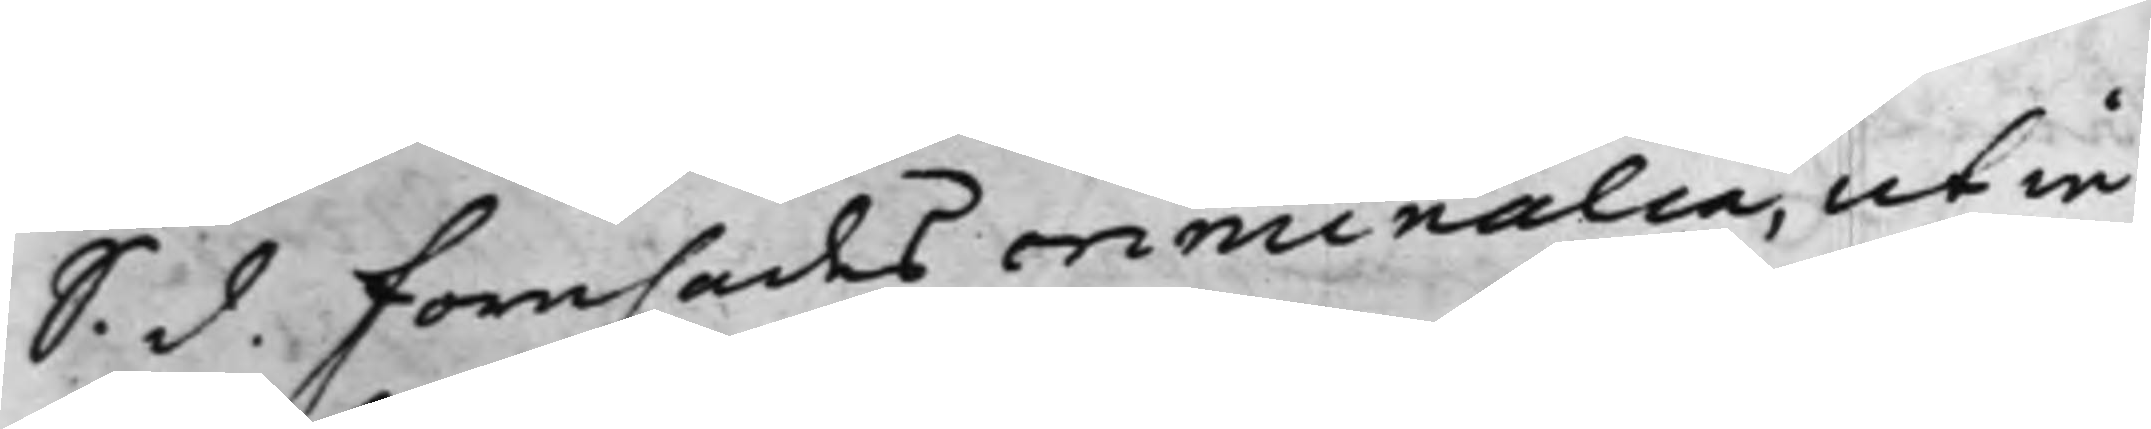S. d. Förehades criminalia, ut in
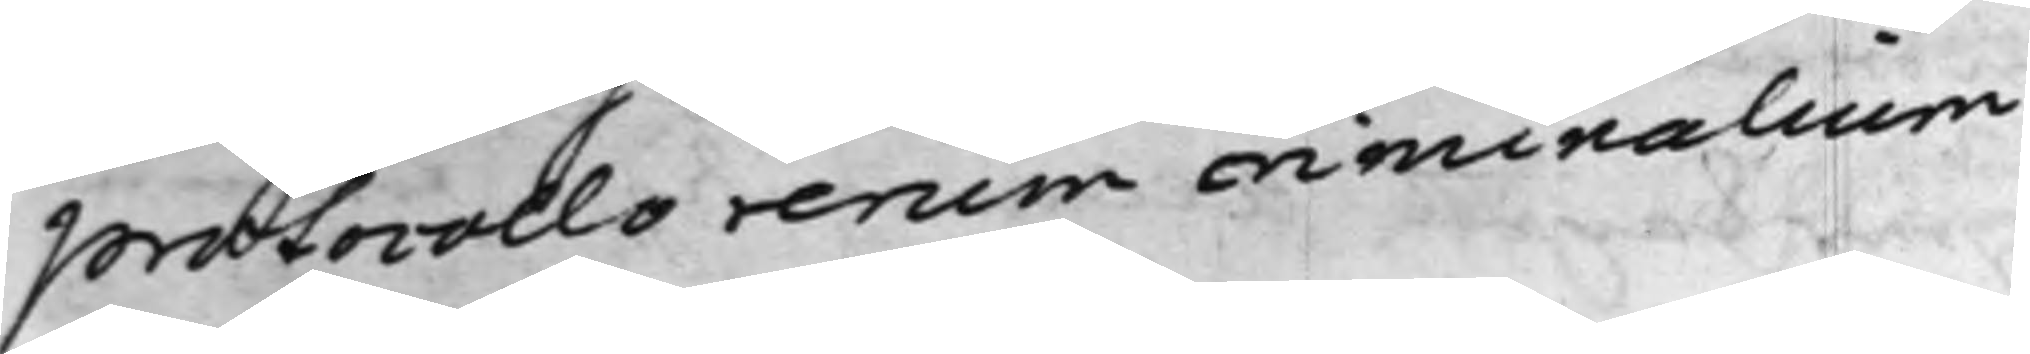protocollo rerum criminalium.
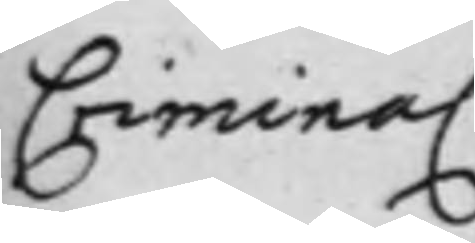Criminal.
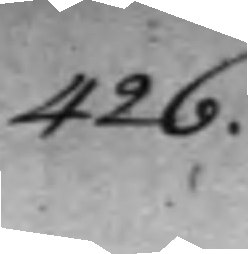426.
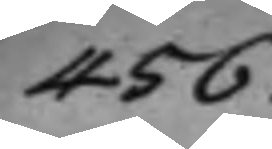456.
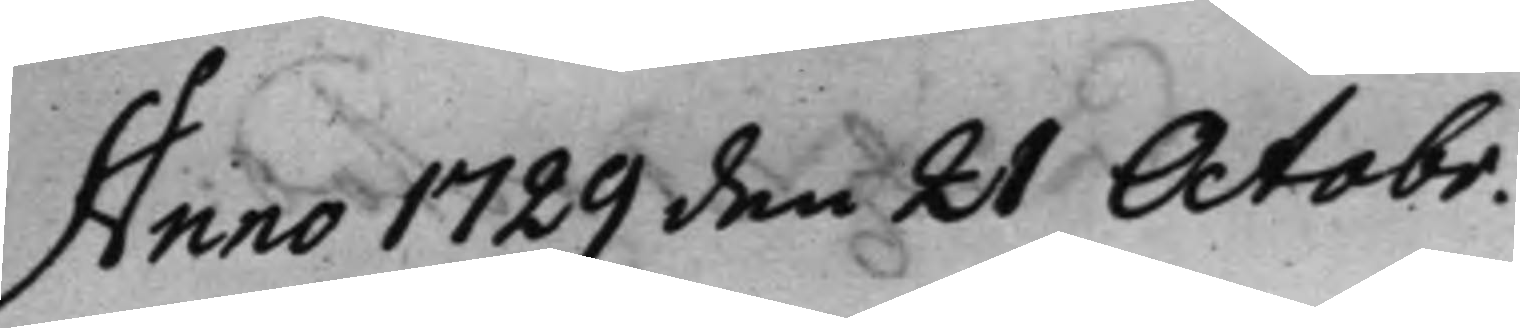Anno 1729 den 21 Octobr.
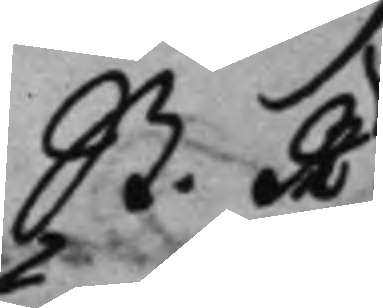St. R.
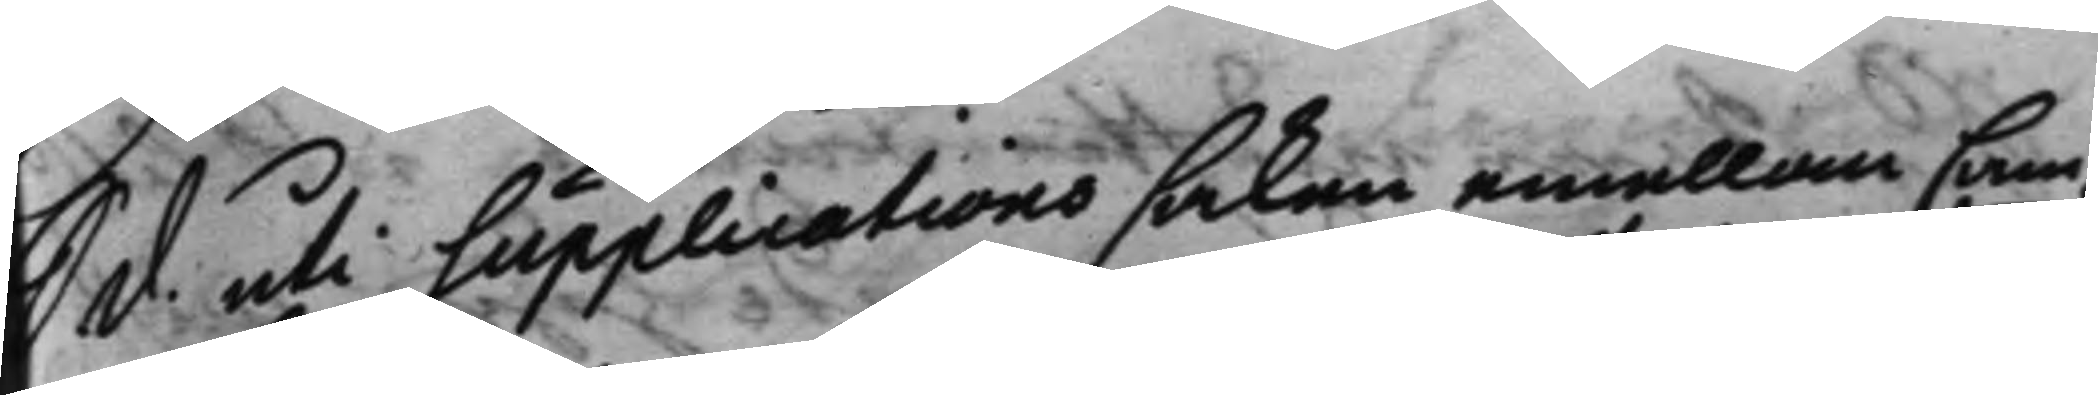S. d. uti Supplications saken emellan Cam¬
